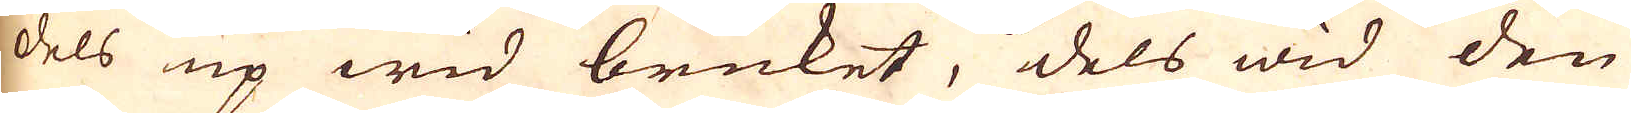dels up wid bruket, dels wid den
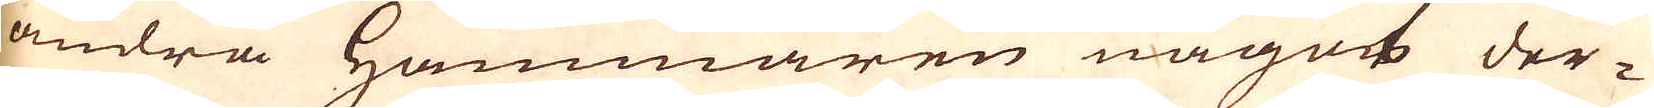andra Hammaren något der-
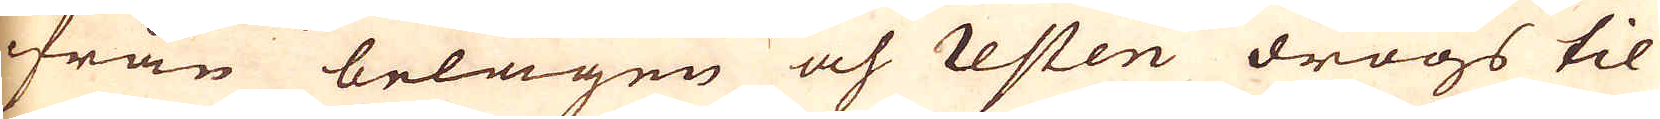ifrån belägen och resten drogs til
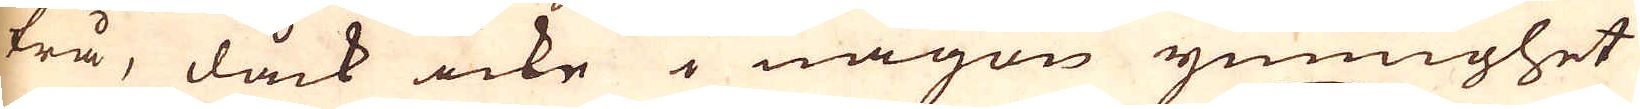trå, dåck icke i någon ymnighet
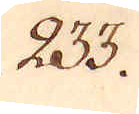233.
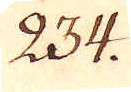234.
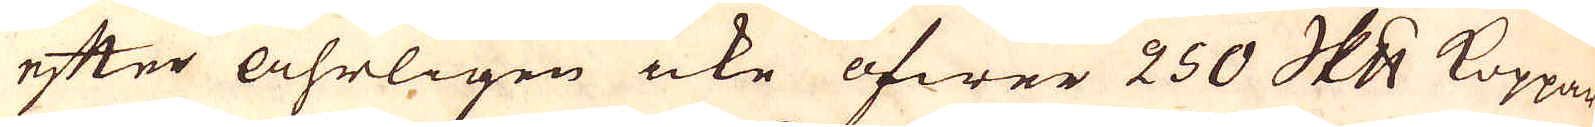efter åhrligen icke öfwer 250 skeppund Koppar
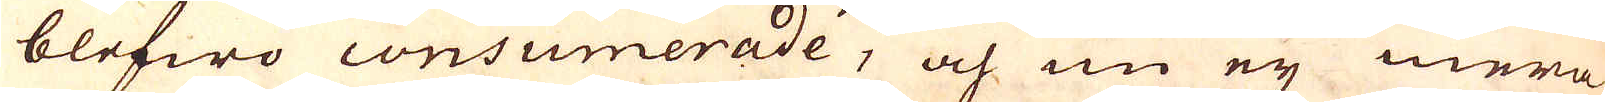blefwo consumerade, och nu ej mera
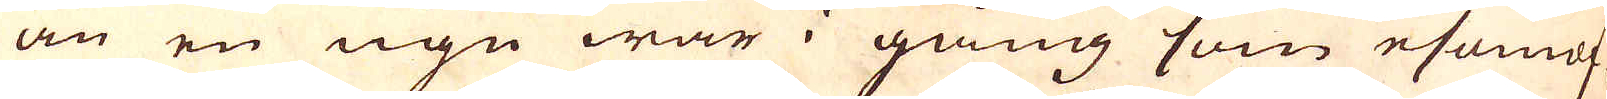än en ugn war i gång som esomof-
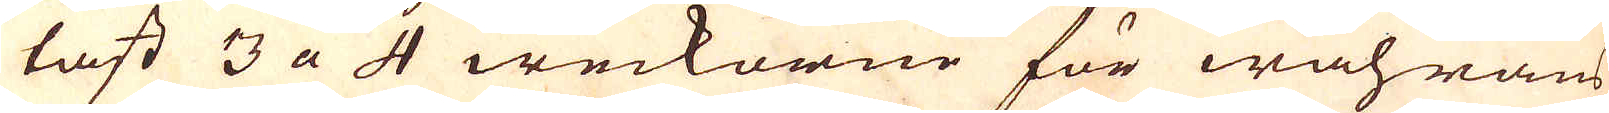tast 3 a 4 weckorne för wahrans
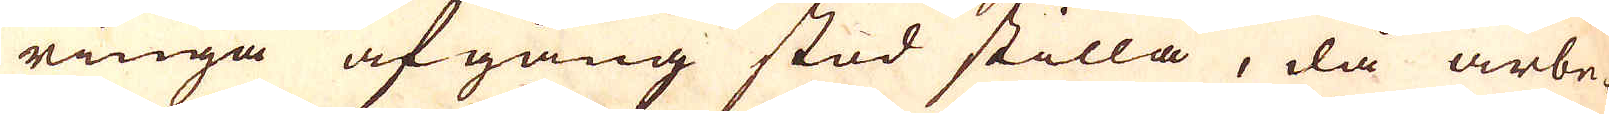ringa afgång stod stilla, då arbe-
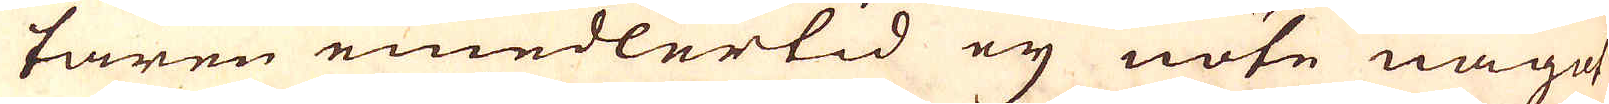taren emedlertid eij nöte något
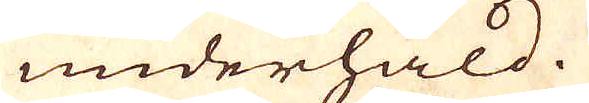underhåld.
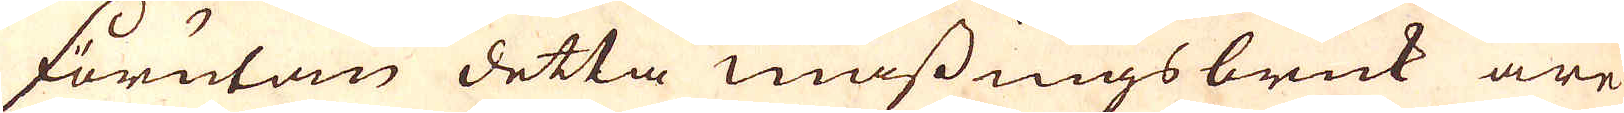Förutom detta mässingsbruk äre
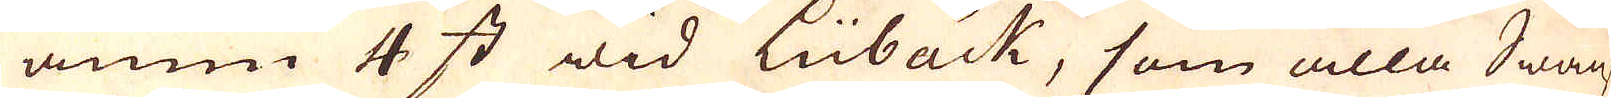ännu 4 st wid Lübäck, som alla Swänsk
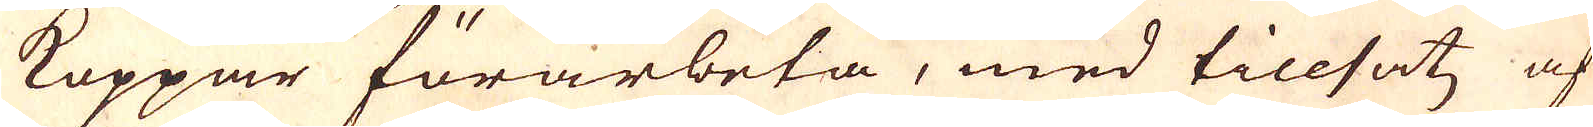Koppar förarbeta, med tillsatz af
